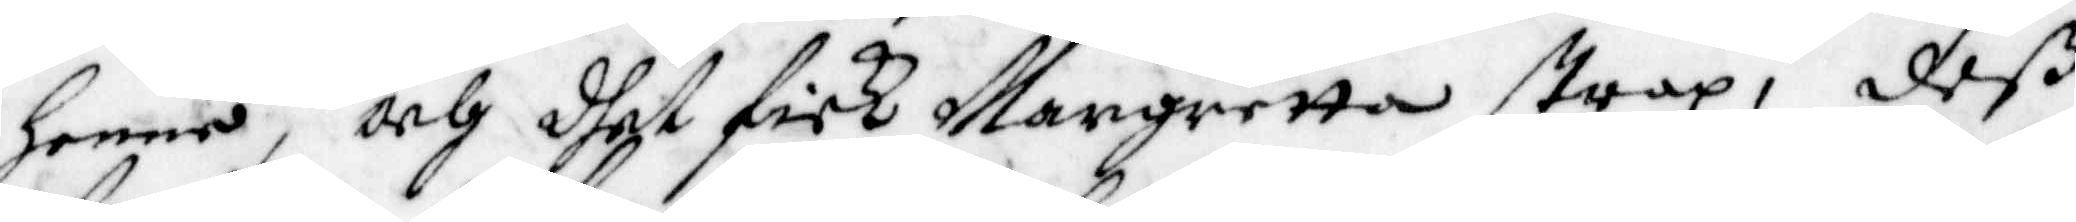henne, Och dhet fick Margretta strax, deß
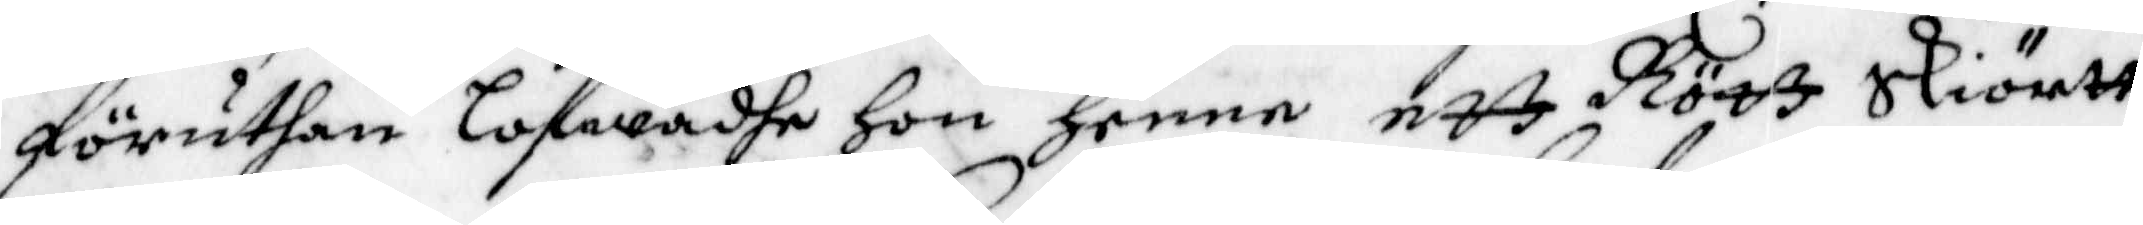föruthan lofwadhe hon henne ett Rött Skiörtt
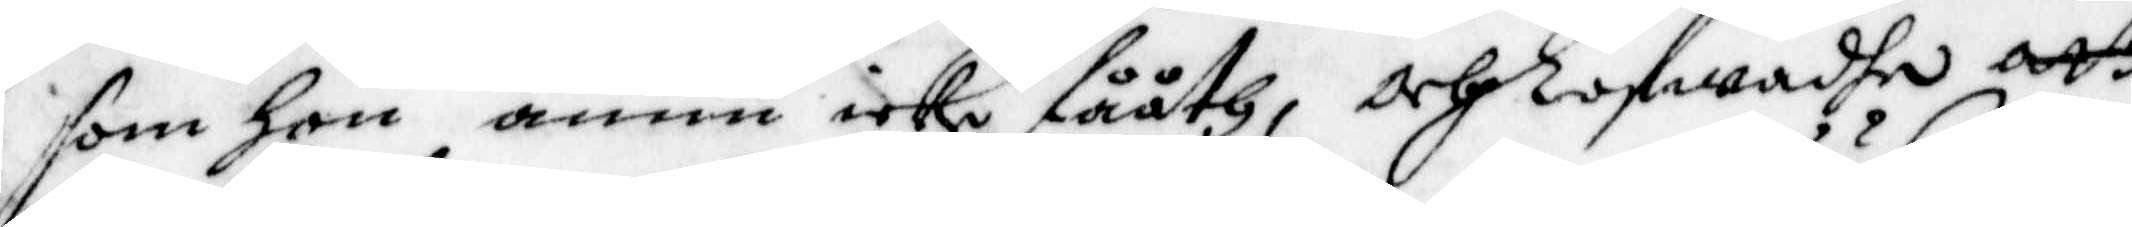som hon ännu icke fååth, och lofwadhe att
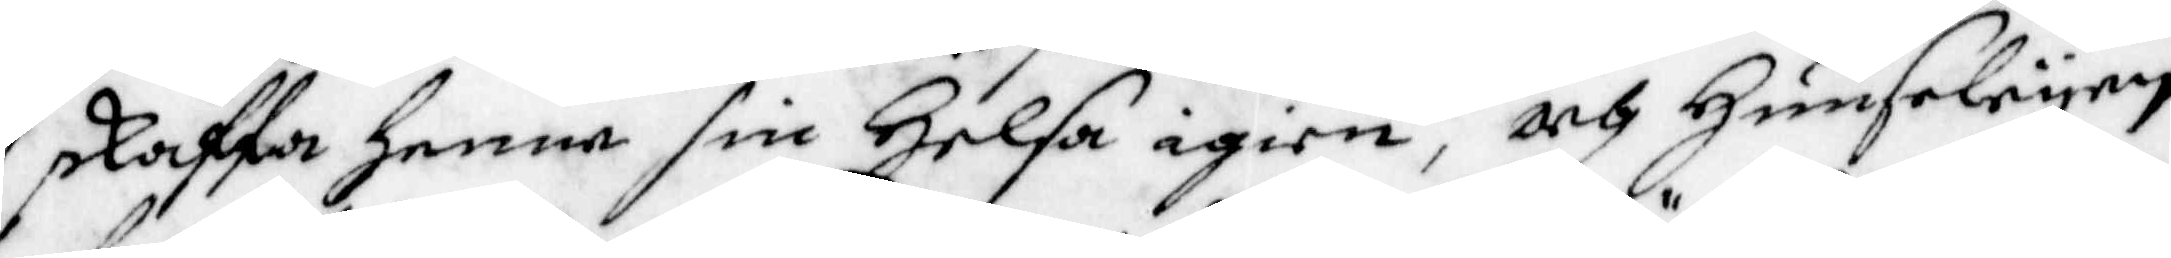skaffa henne sin Helsa igien, och Huuseleyen
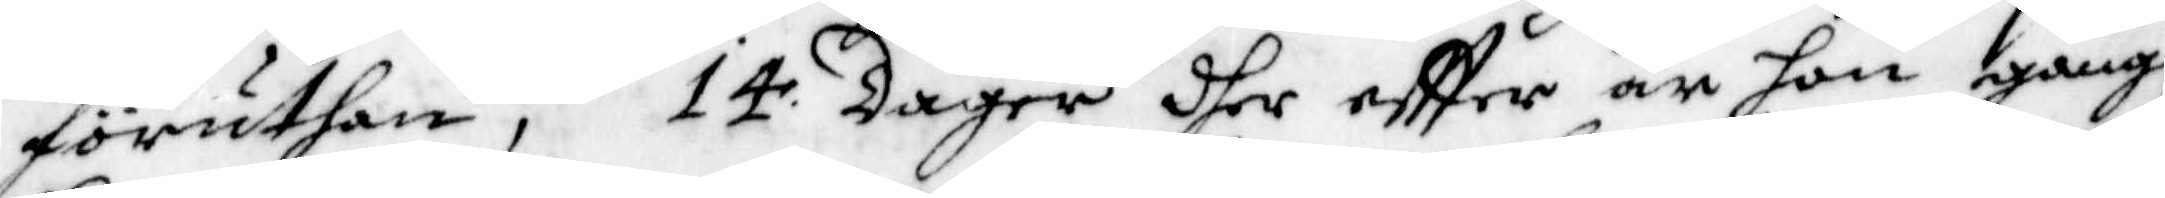föruthan; 14 dagar dher eftter är hon gang
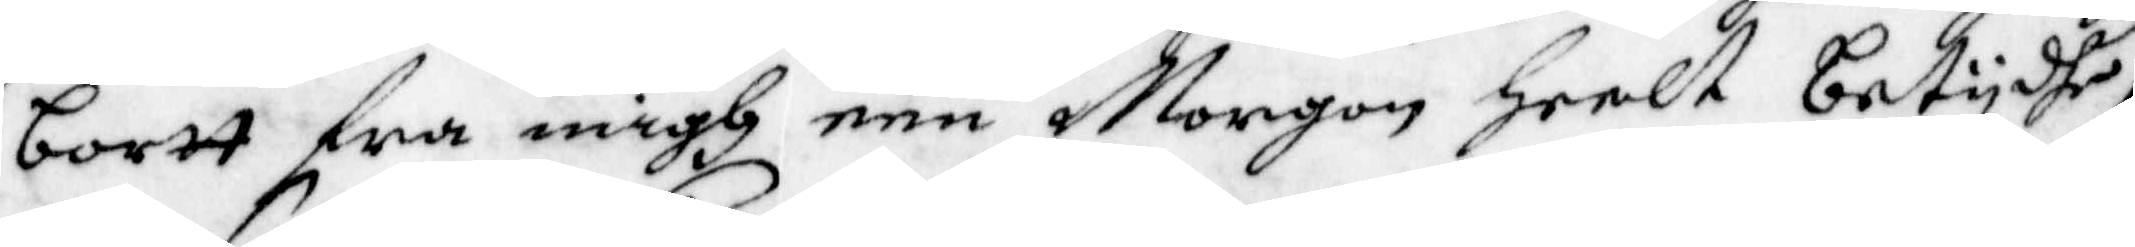bortt fra migh een Morgon heelt betydhe,
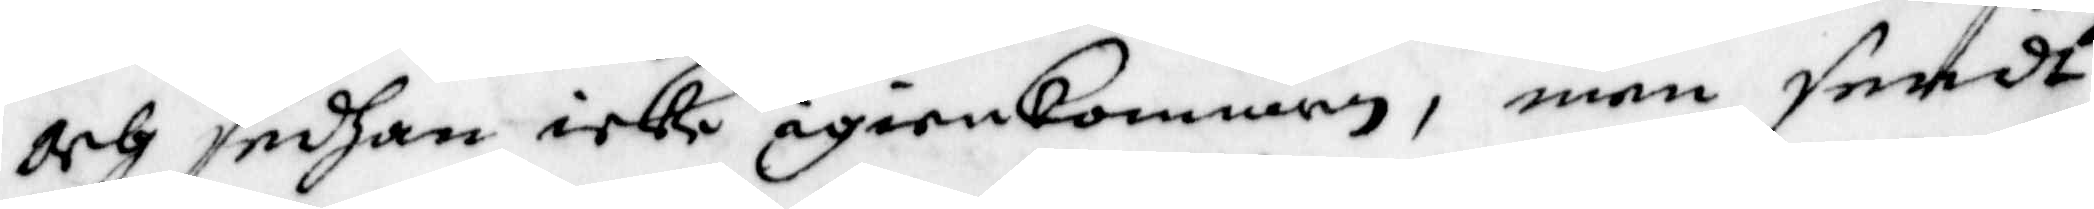och sedhan icke igienkommen, men sendt
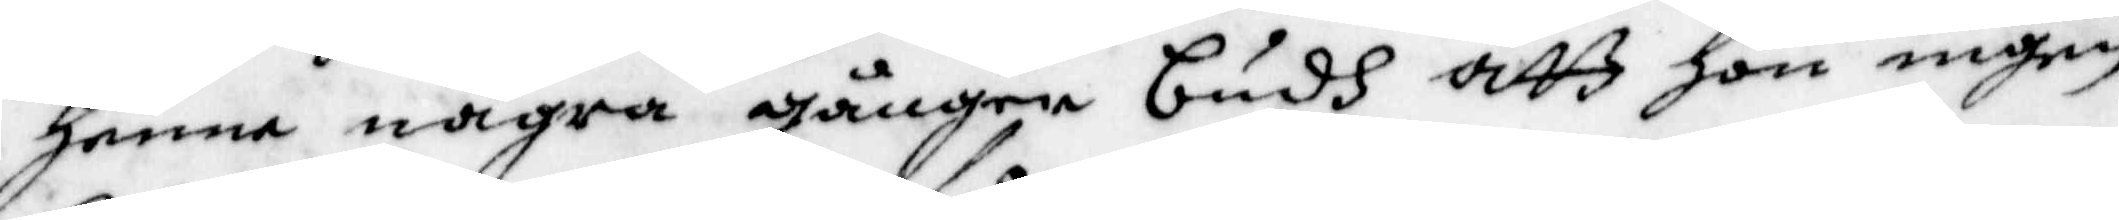henne några gånger budh att hon ingen
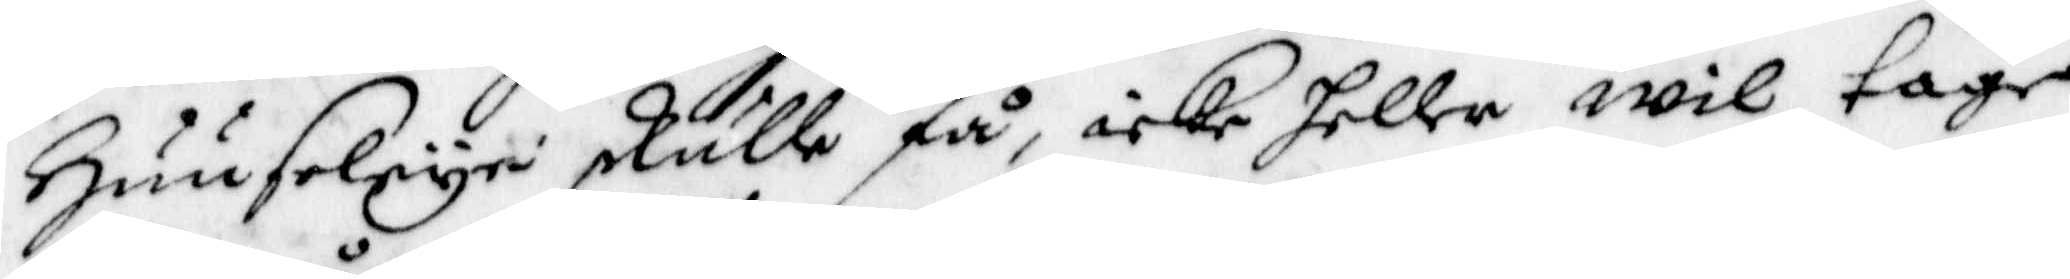Huuseleye skulle få, icke heller wil tage
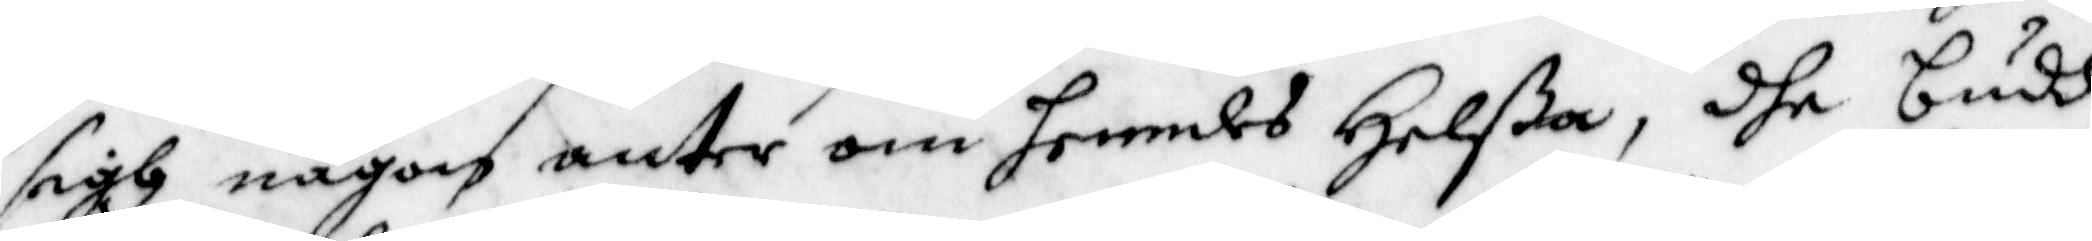sigh någon anter om henndes Helßa, dhe budh
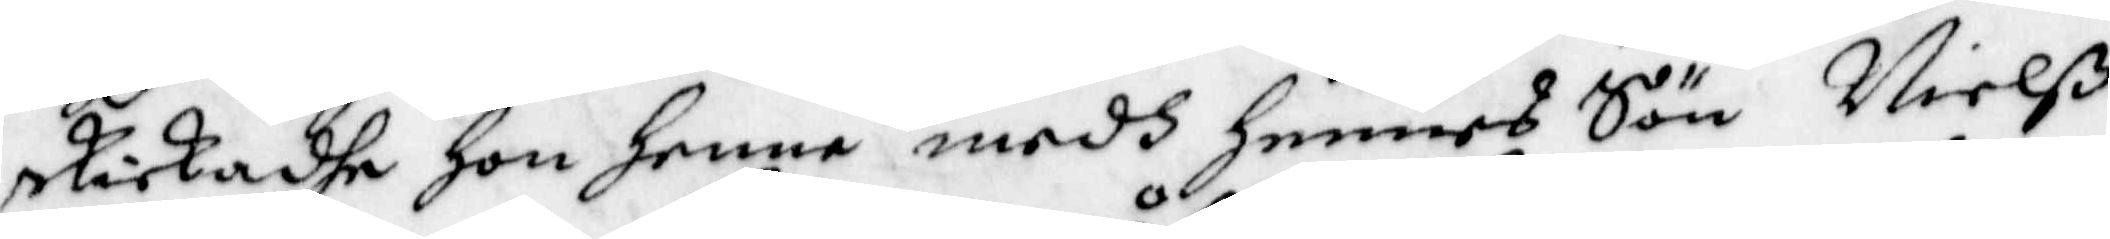skickadhe hon henne medh hennes Sön Nielß
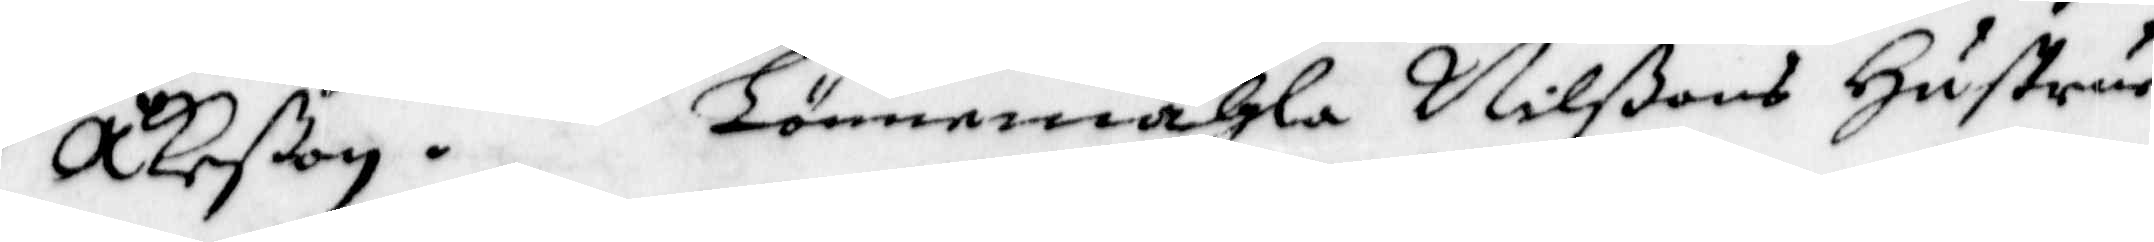Åkeßon. Lönnemåhla Nilßons Hustrur
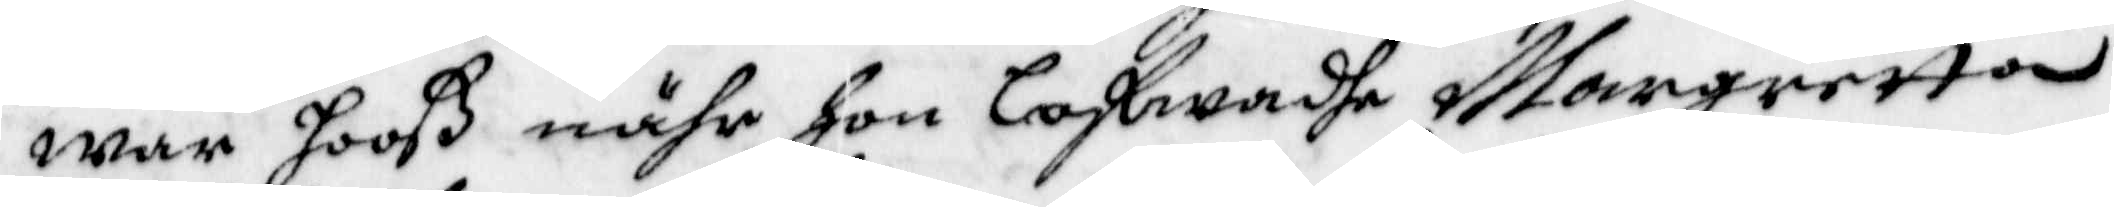war hooß nähr hon lofwadhe Margretta
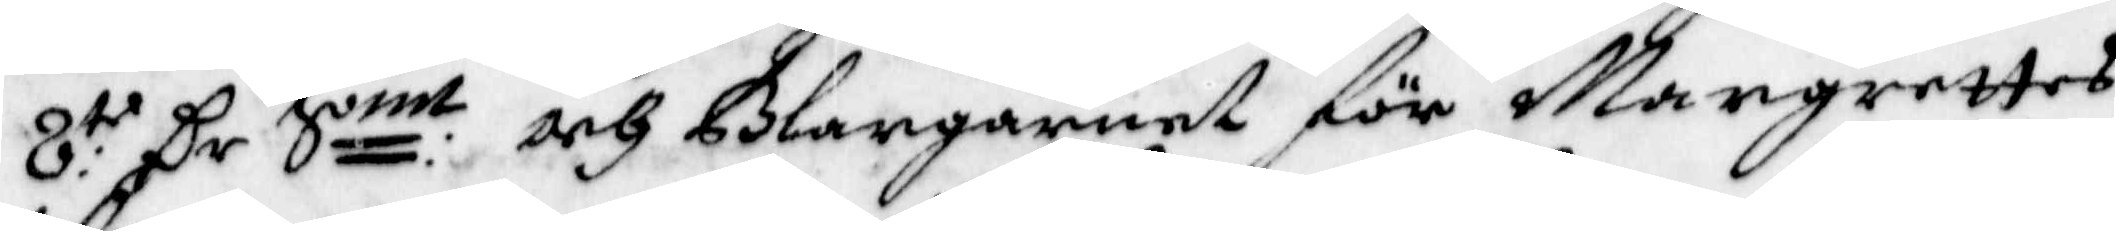8:te Cr Smt och Blangarnet för Margrettes
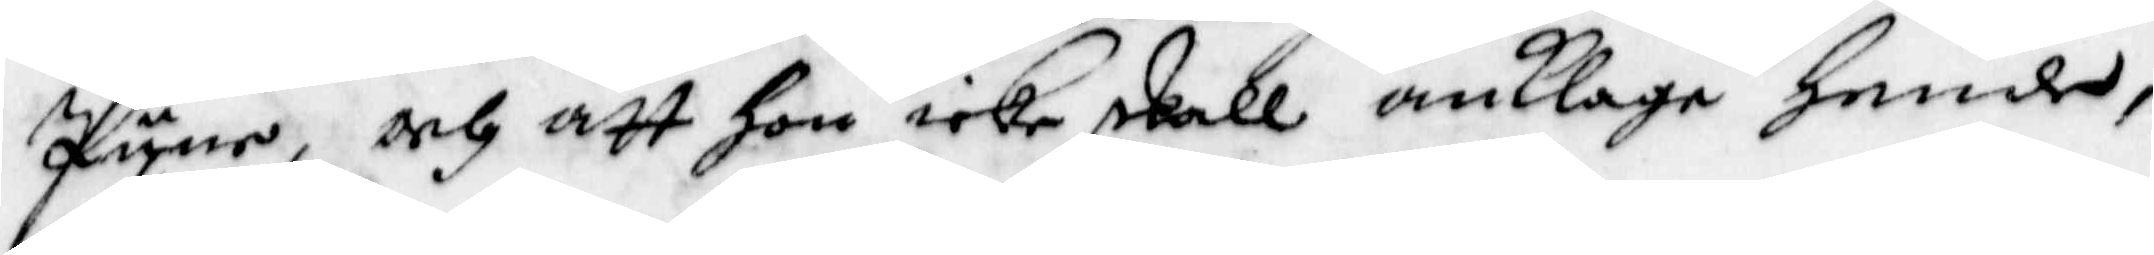Pyne, och att hon icke skall anklaga hende,
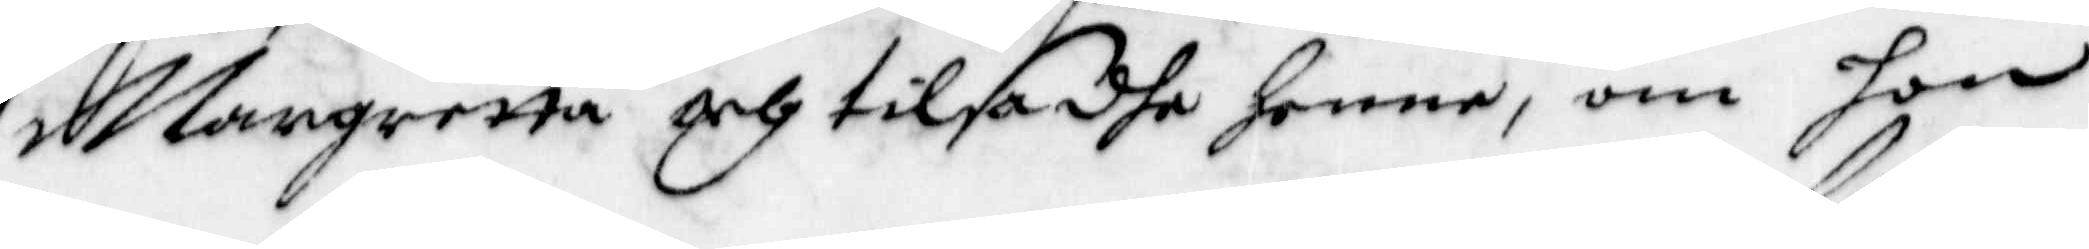Margretta och tilsadhe Henne, om hon
